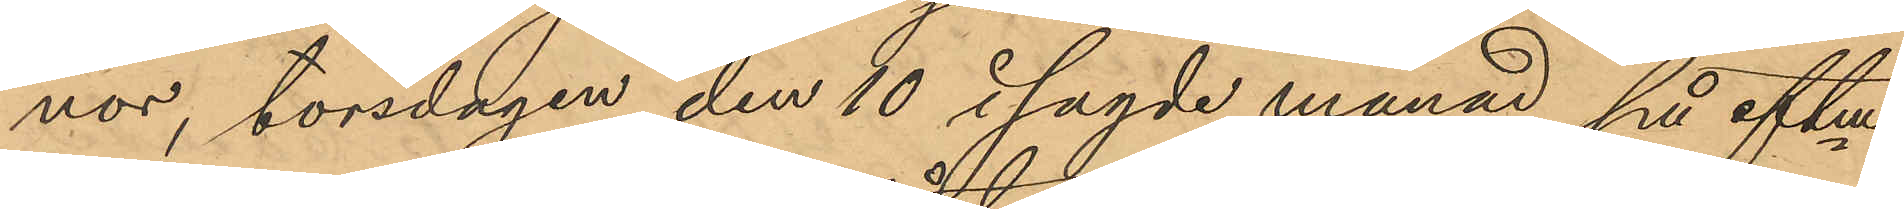nor, torsdagen den 10 i sagde månad på eftm
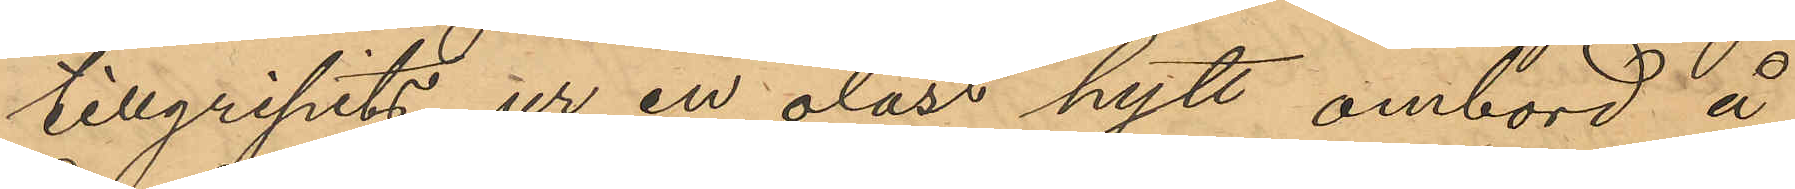tillgripits ur en olåst hytt ombord å
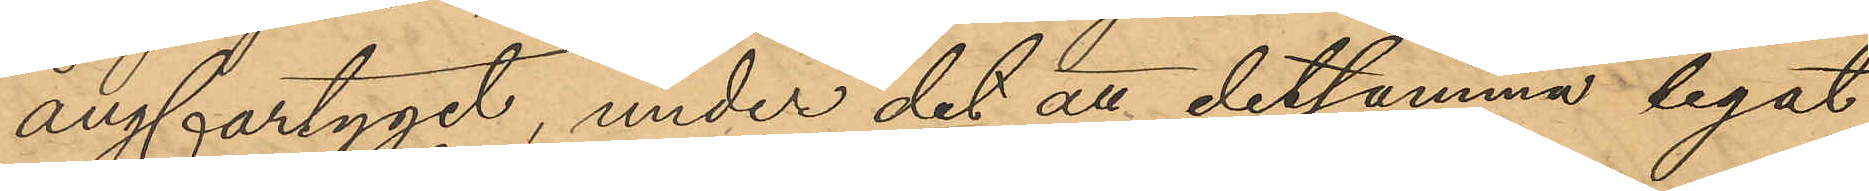ångfartyget, under det att detsamma legat
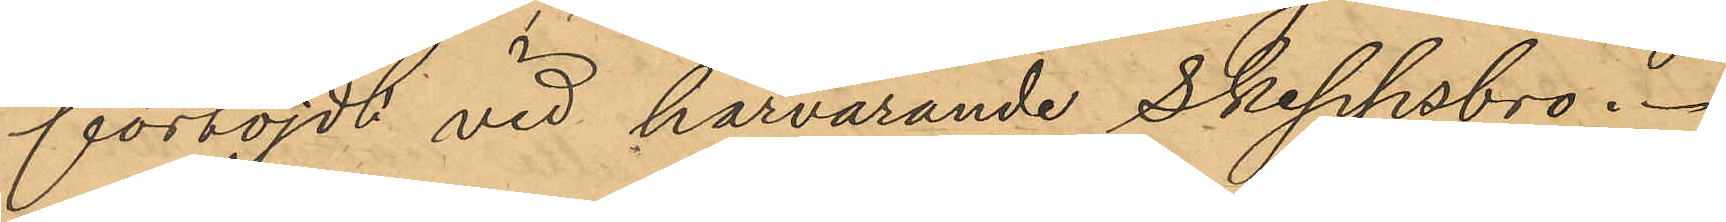förtöjdt vid härvarande Skeppsbro.
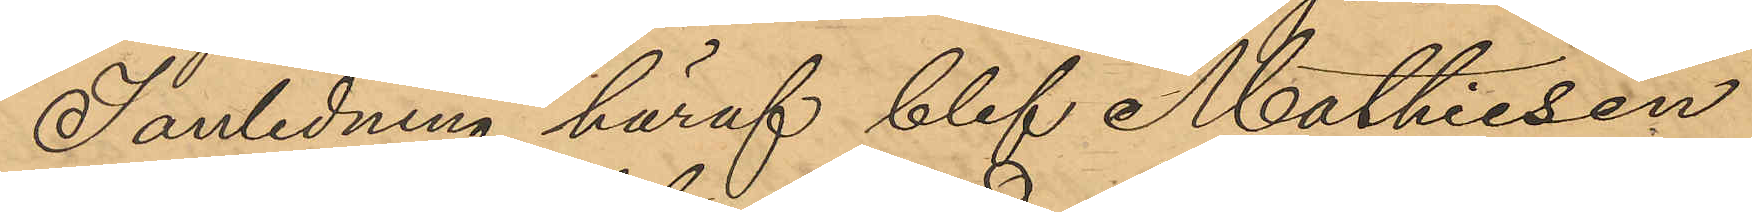I anledning häraf blef Mathiesen
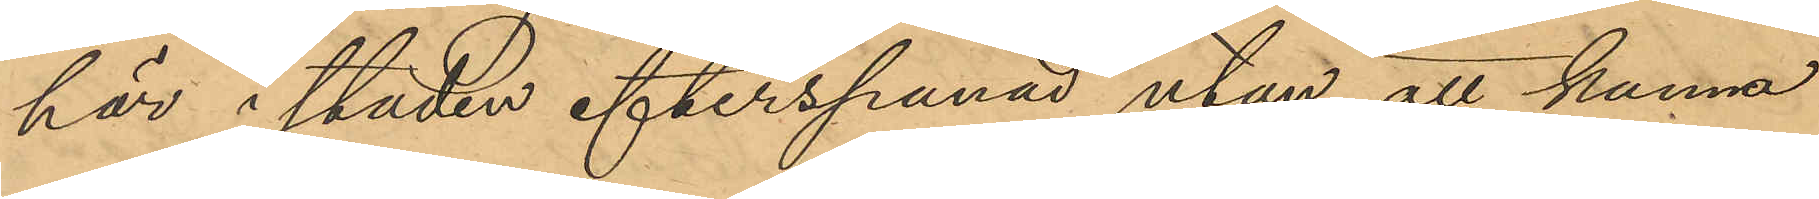här i staden efterspanad utan att kunna
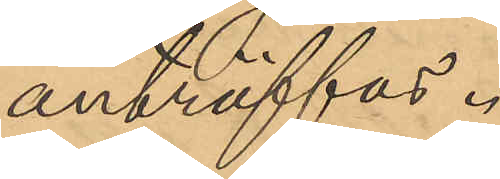anträffas.
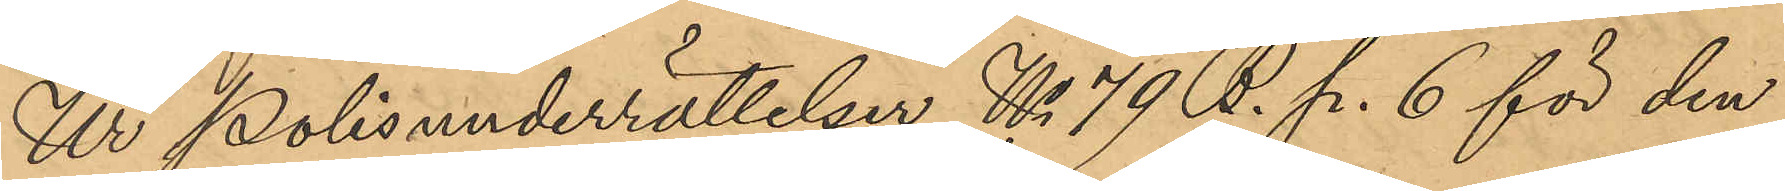Ur Polisunderrättelser No 79 B. p. 6 för den
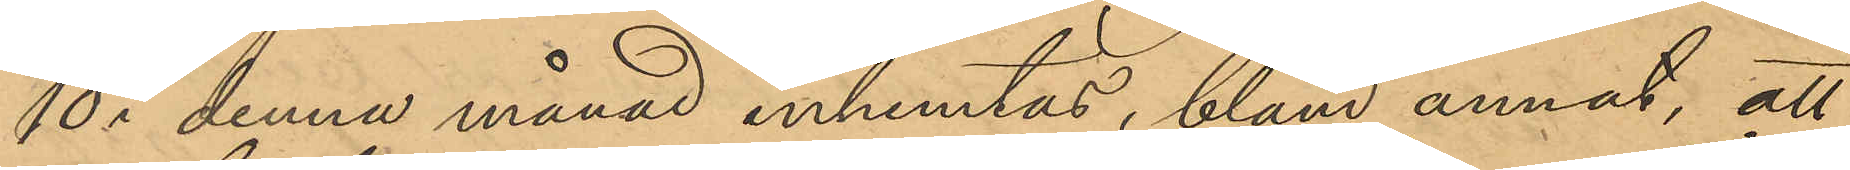10 i denna månad inhemtas, bland annat, att
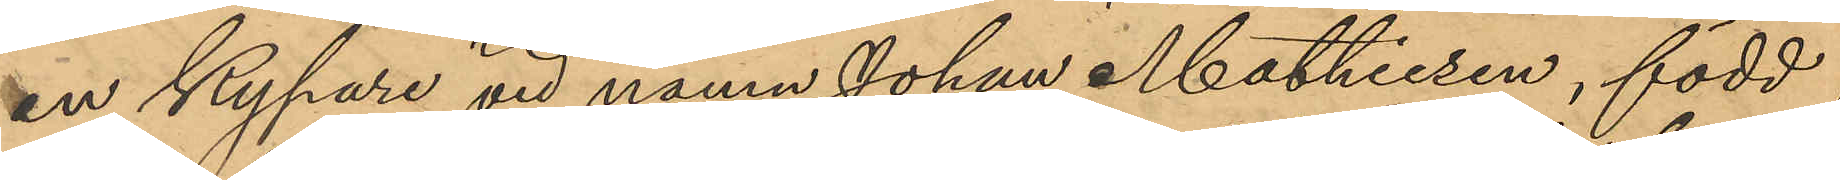en kypare vid namn Johan Mathiesen, född
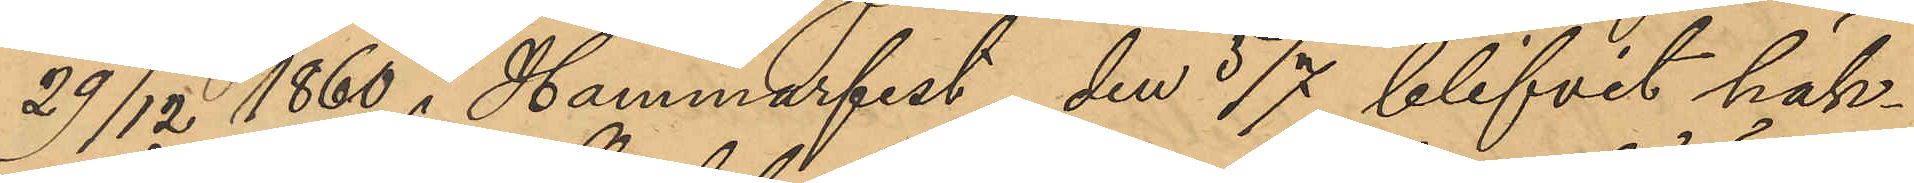29/12 1860 i Hammarfest, den 5/7 blifvit häk¬
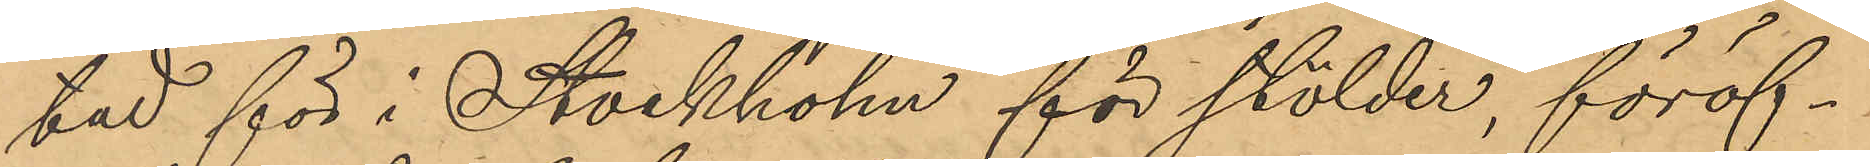tad för i Stockholm för stölder, föröf¬
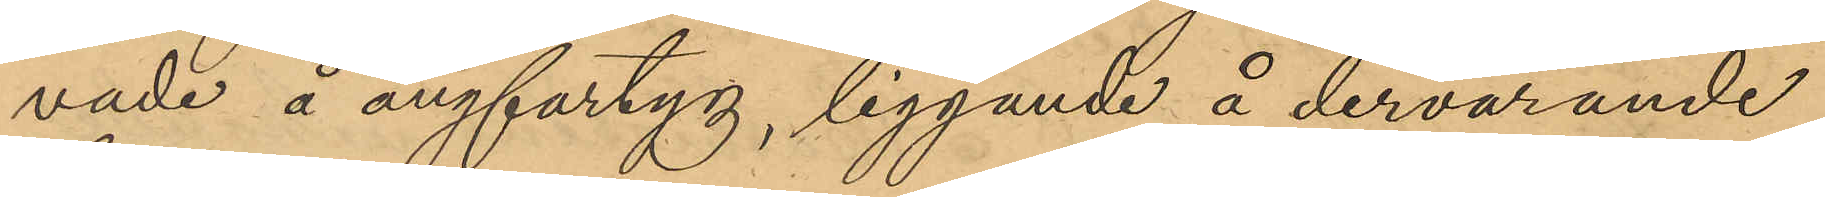vade å ångfartyg, liggande å dervarande
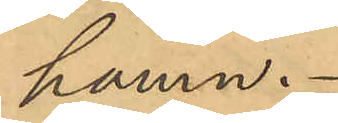hamn.
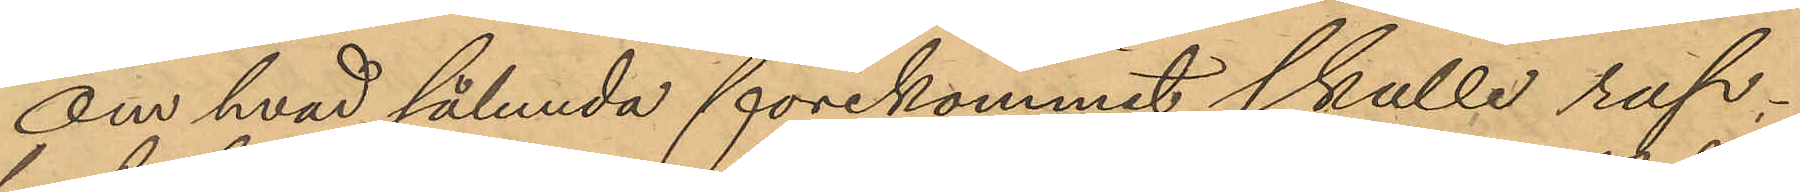Om hvad sålunda förekommit skulle rap¬
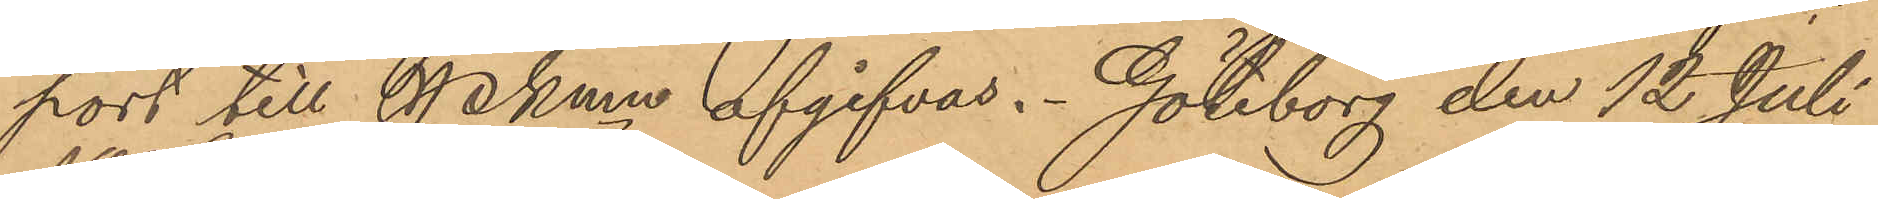port till Pkmn afgifvas. Göteborg den 12 Juli
